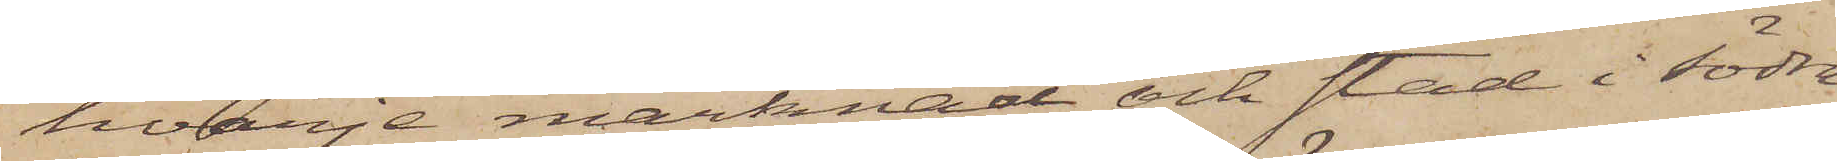hvarje marknad och stad i södra
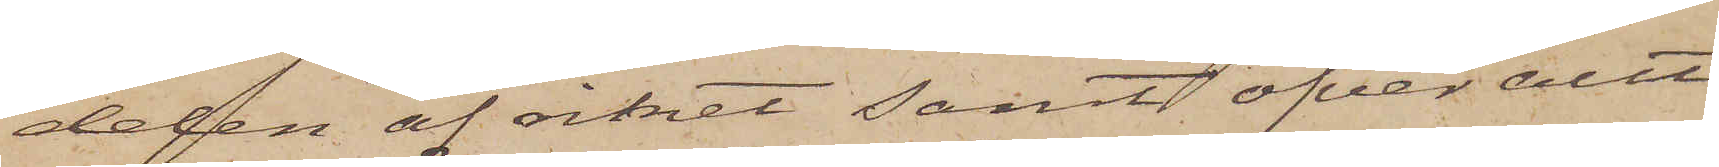delen af riket samt öfver allt
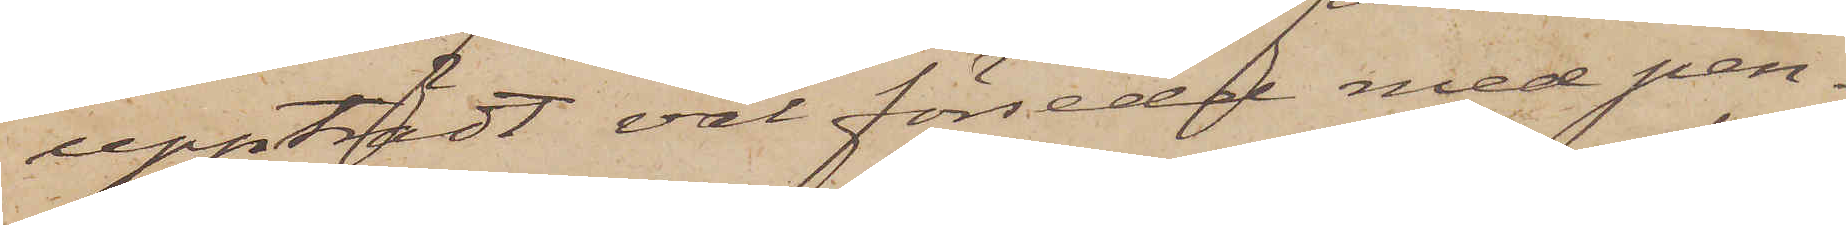uppträdt väl försedd med pen¬
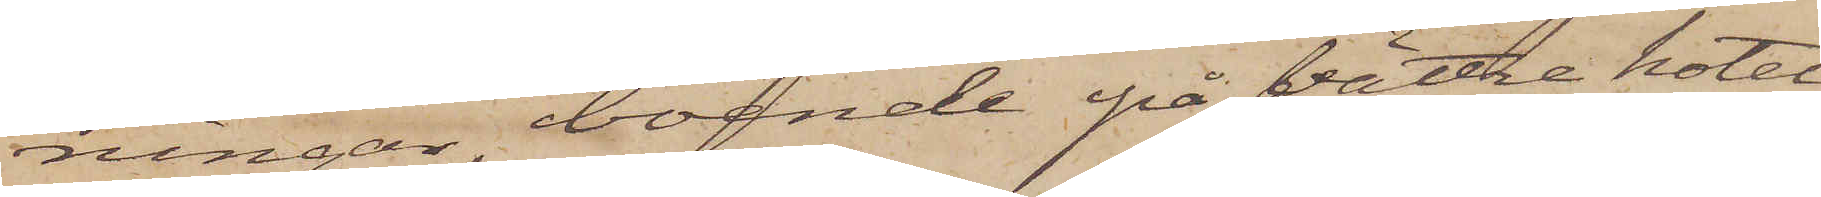ningar boende på bättre hotel
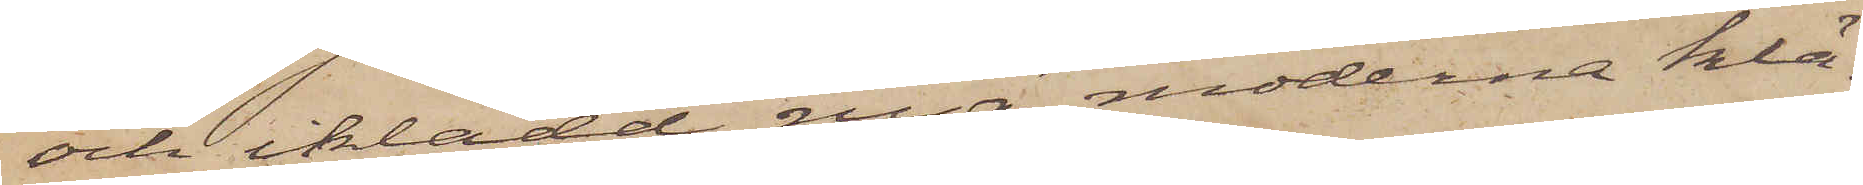och iklädd nya, moderna klä¬
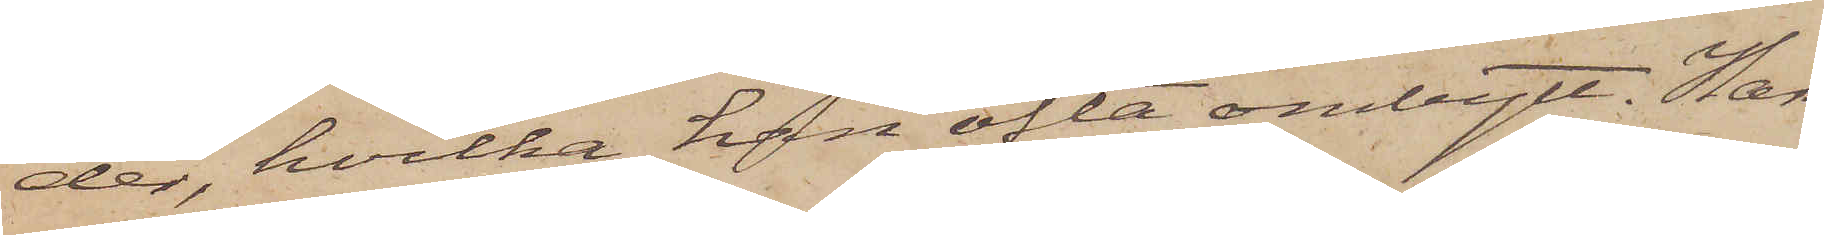der, hvilka han ofta ombytt, Han
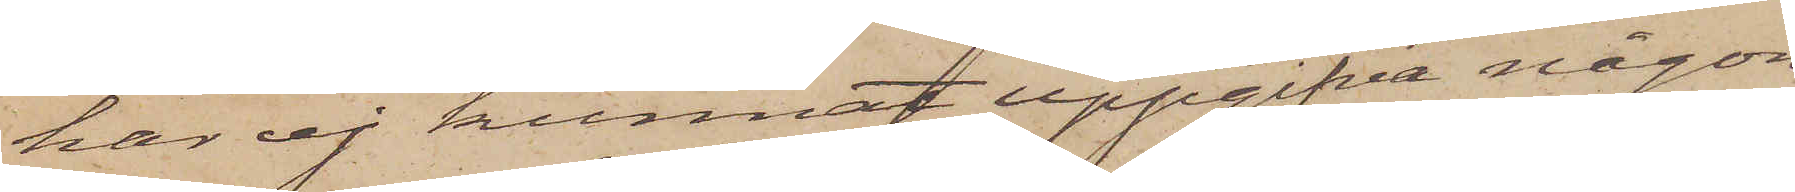har ej kunnat uppgifva någon
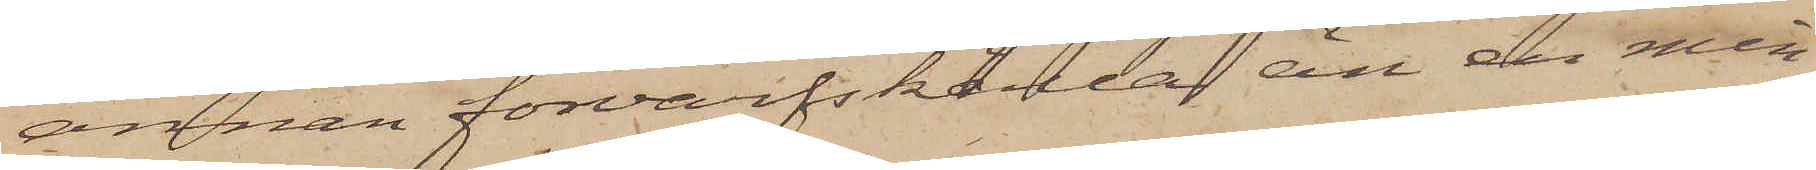annan förvärfskälla än en min¬
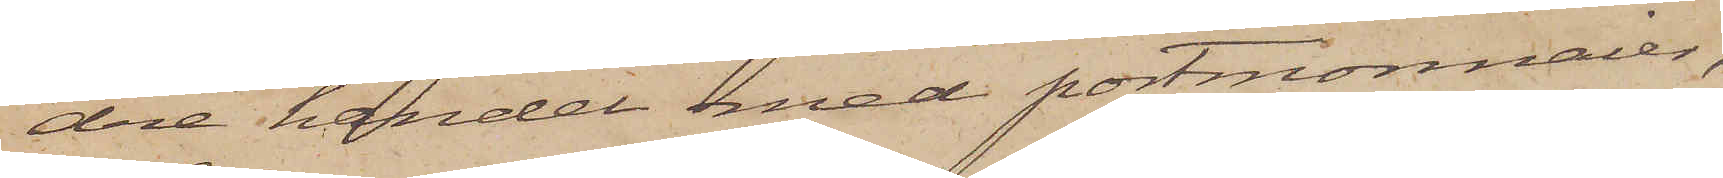dre handel med portmonnaier,
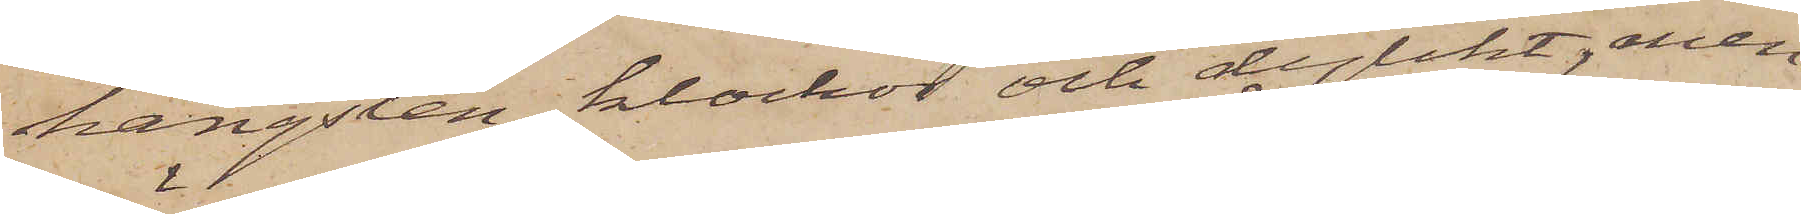hängslen, klockor och dylikt, men
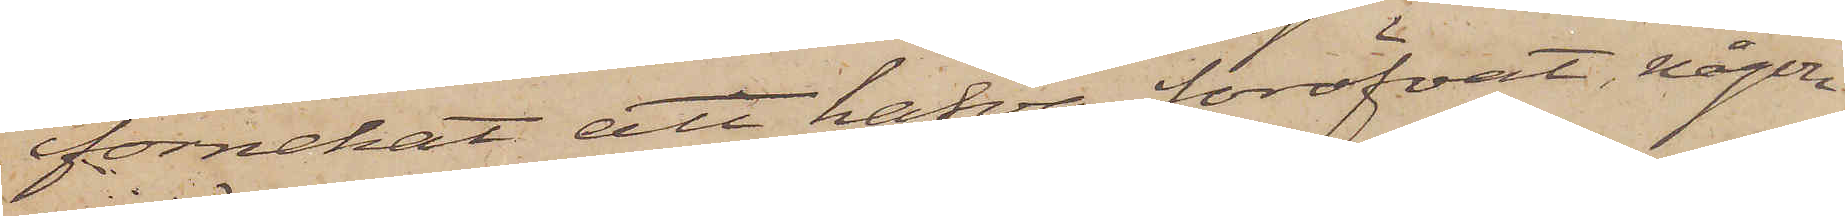förnekat att hafva föröfvat någon
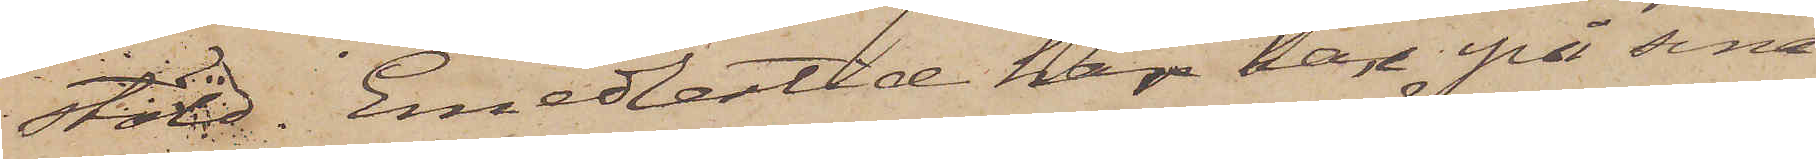stöld. Emedlertid har han på sina
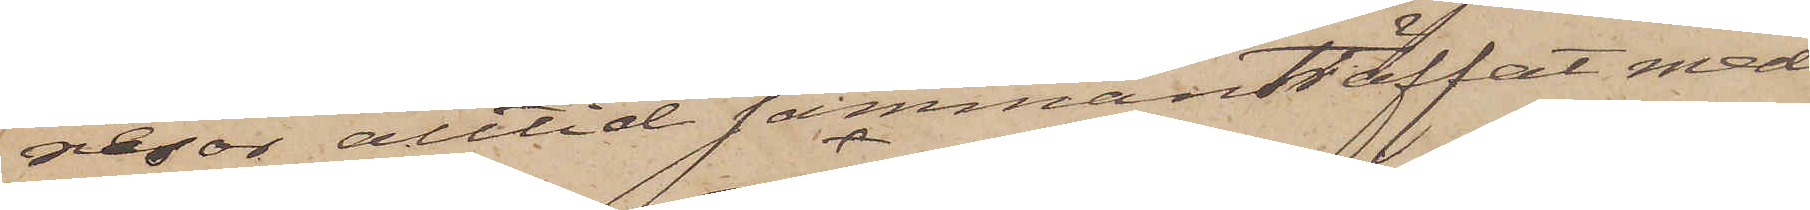resor alltid sammanträffat med
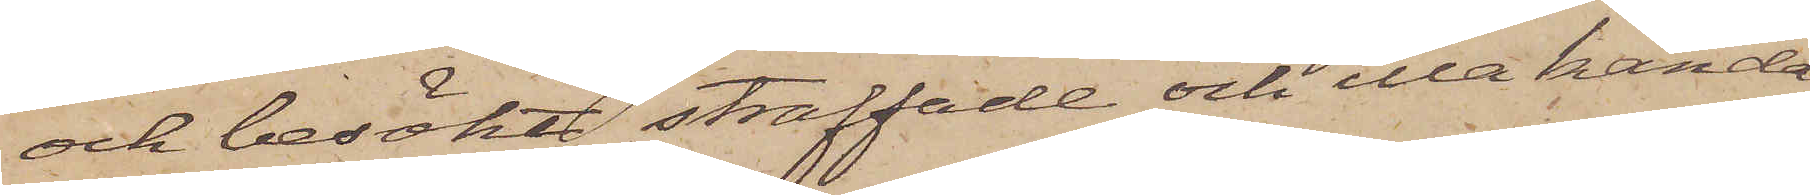och besökt straffade och illa kända
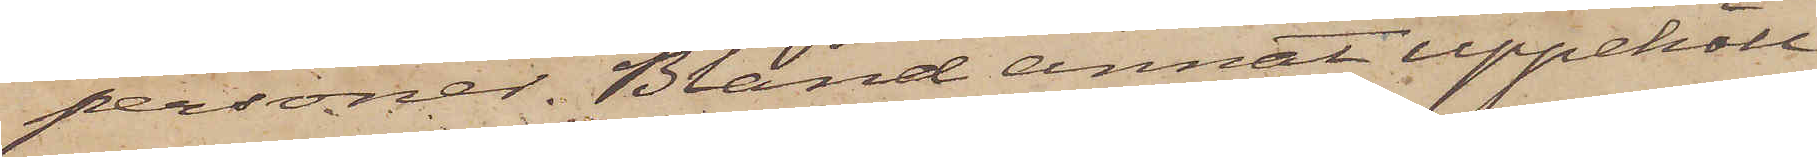personer. Bland annat uppehöll
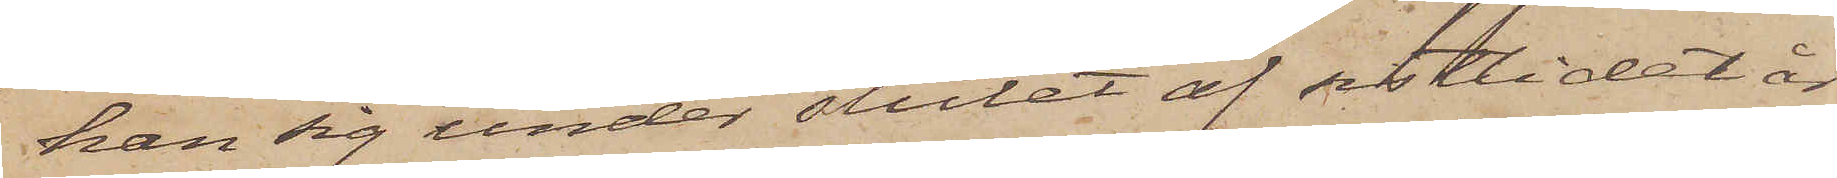han sig under slutet af sistlidet år
